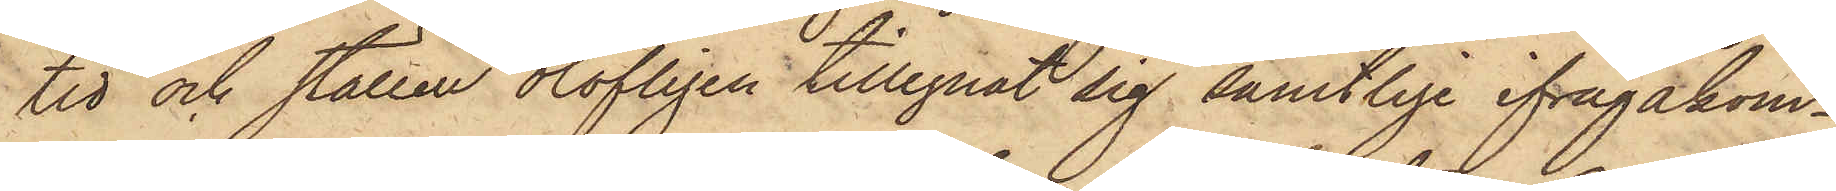tid och ställen olofligen tillegnat sig samtlige ifrågakom¬
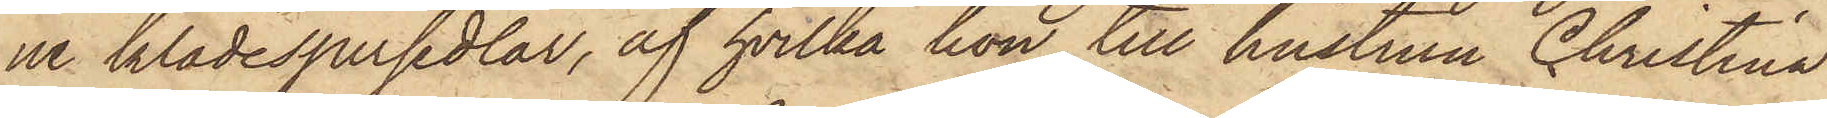ne klädespersedlar, af hvilka hon till hustrun Christina
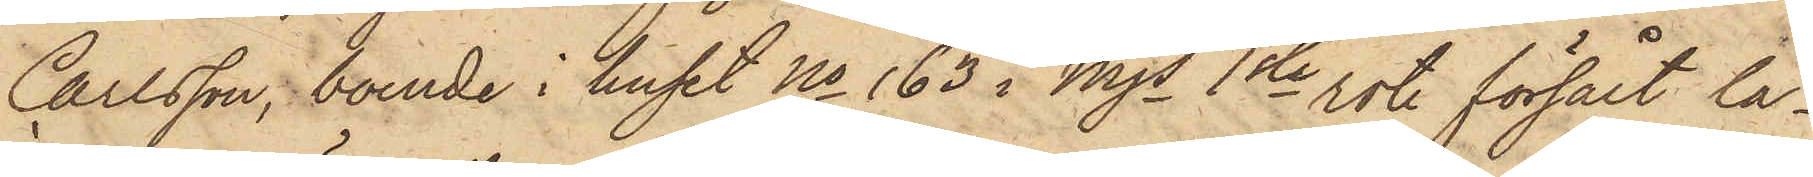Carlsson, boende i huset No 163 i Mjs 1ste rote försålt la¬
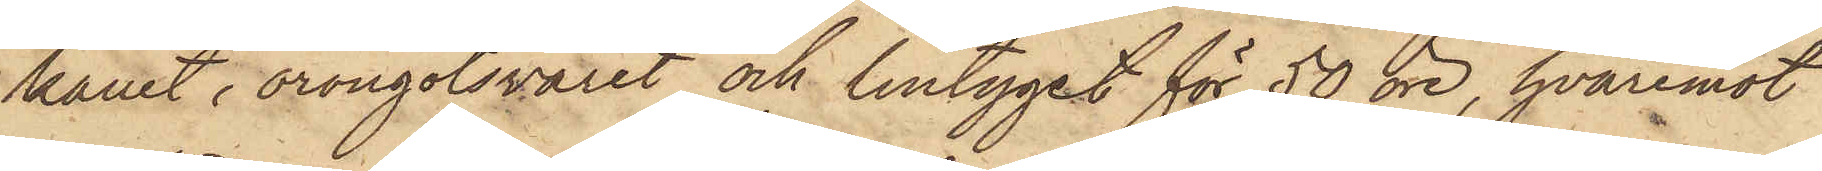kanet, örongotsvaret och lintyget för 50 öre, hvaremot
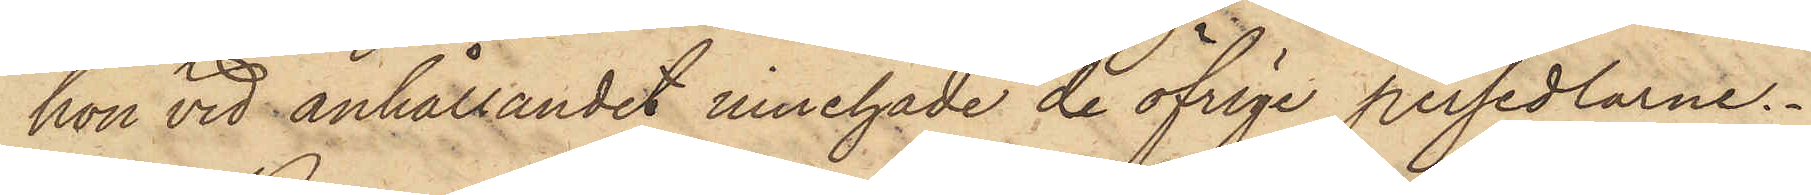hon vid anhållandet innehade de öfrige persedlarne.
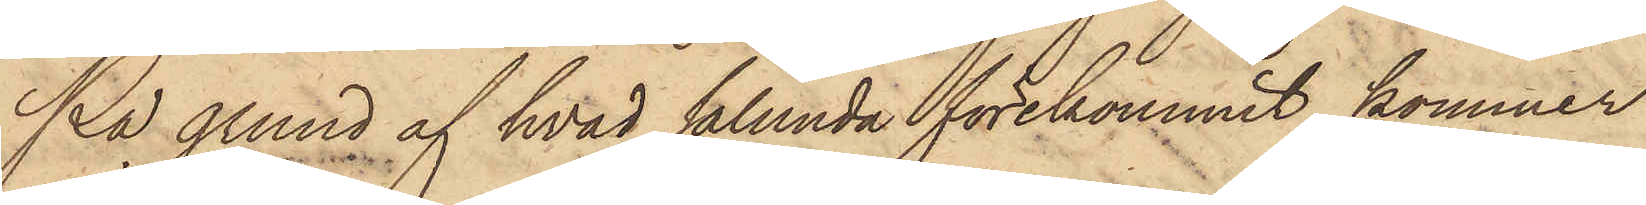På grund af hvad sålunda förekommit kommer
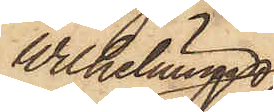Wilhelmina
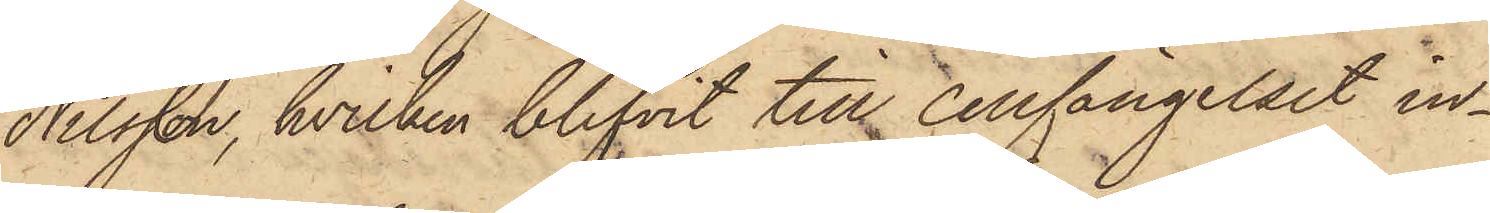Nilsson, hvilken blifvit till Cellfängelset in¬
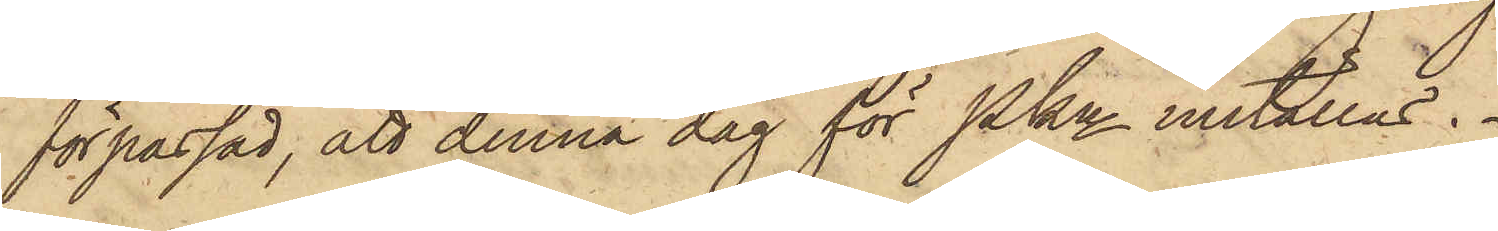förpassad, att denna dag för PKn inställas.
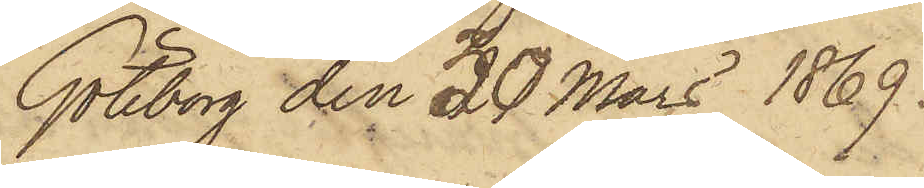Göteborg den 30 Mars 1869.
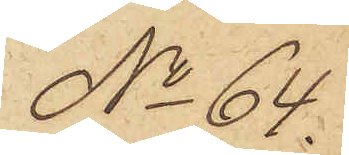No 64.
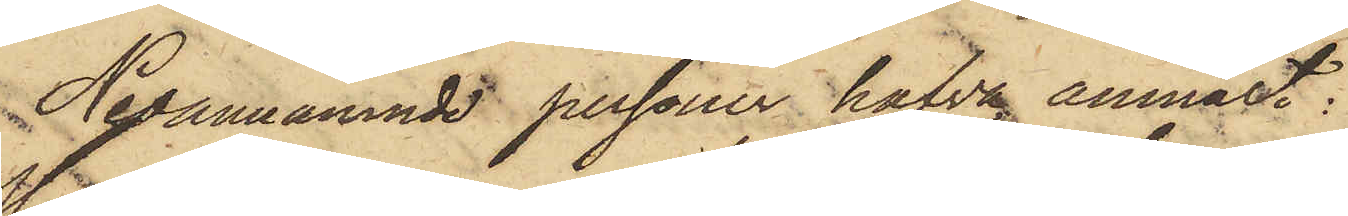Nedannämnde personer hafva anmält:
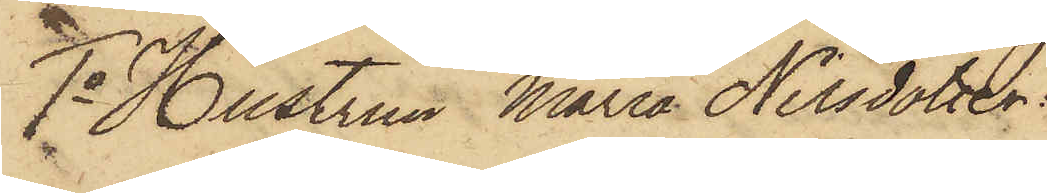1o Hustrun Maria Nilsdotter
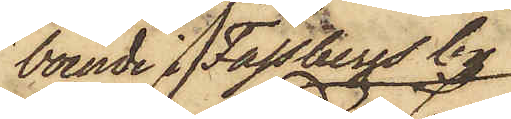boende i Fässbergs by:
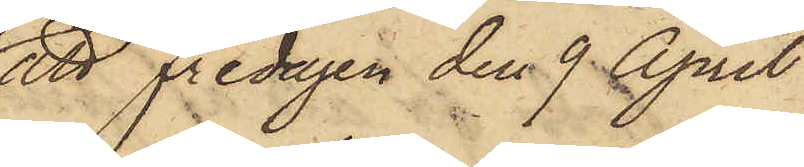att Fredagen den 9 April
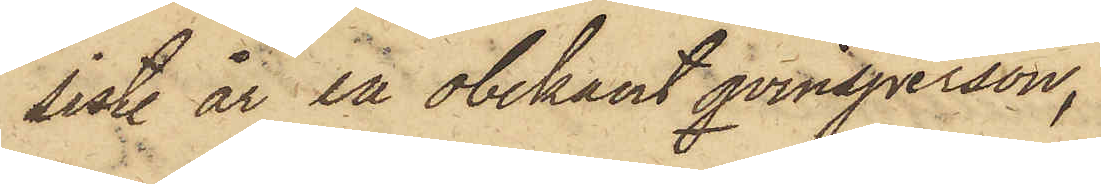sistl. år en obekant qvinsperson,
